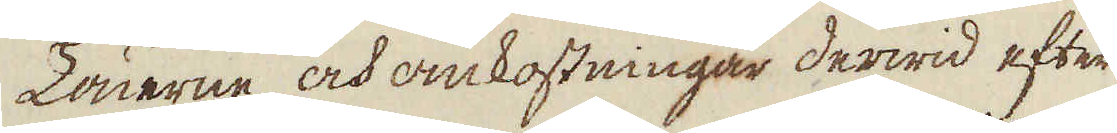Lönerne och omkostningar derwid efter
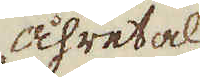åhretal
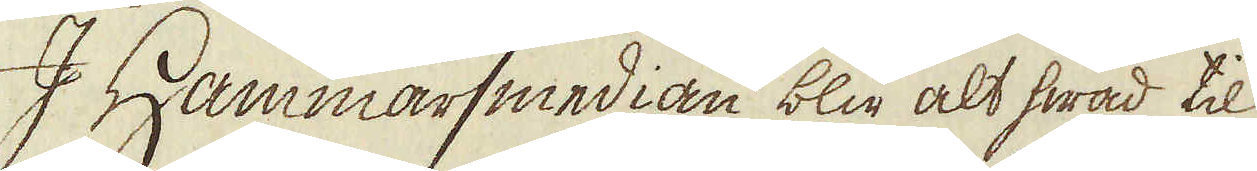I Hammarsmedian blir alt hwad til
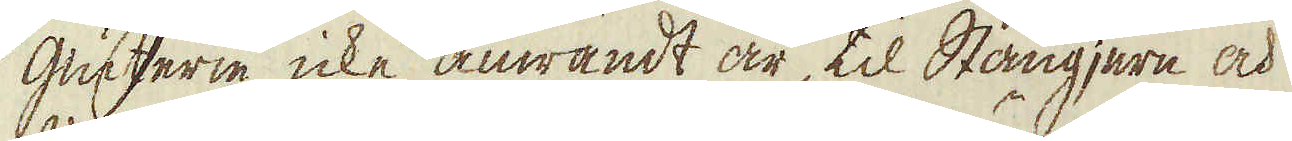giuterie icke anwändt är, til Stångjern och
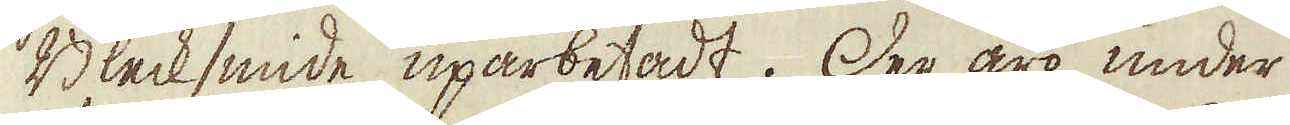Blecksmide uparbetadt. Der äro under
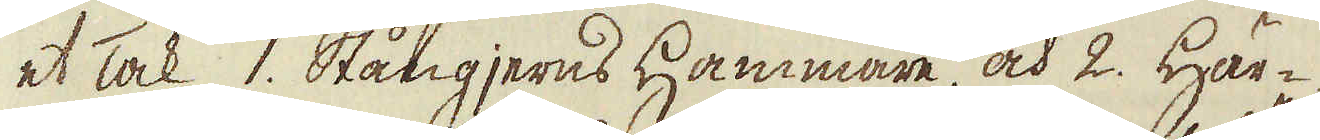et Tak 1. Stångjerns Hammare, och 2. Här-
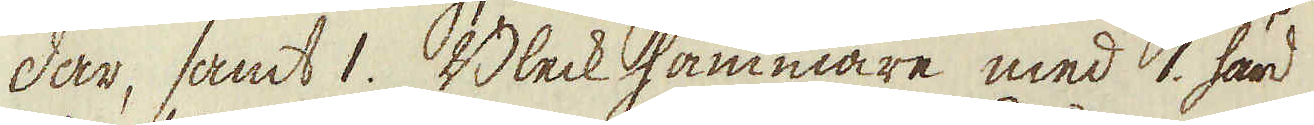dar, samt. 1. Bleck hammare med 1. härd
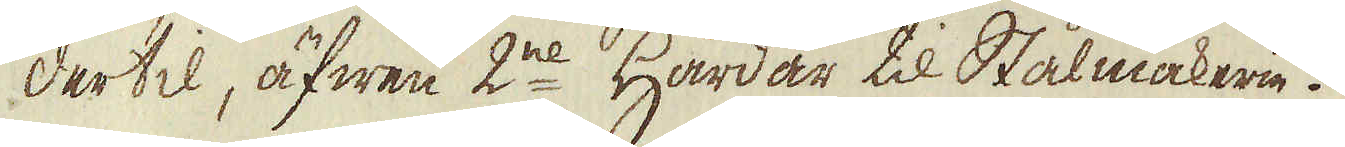dertil, äfwen 2ne Härdar til Stålmakerie.
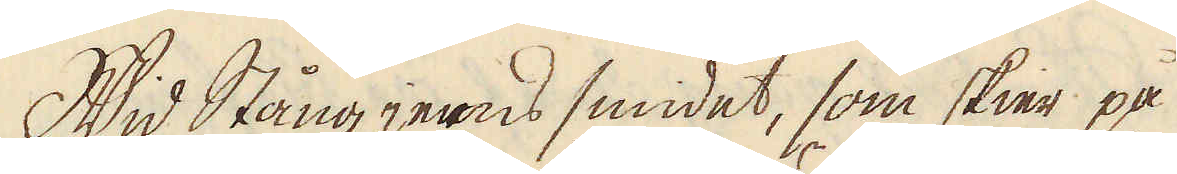Wid Stång jerns smidet, som skier på
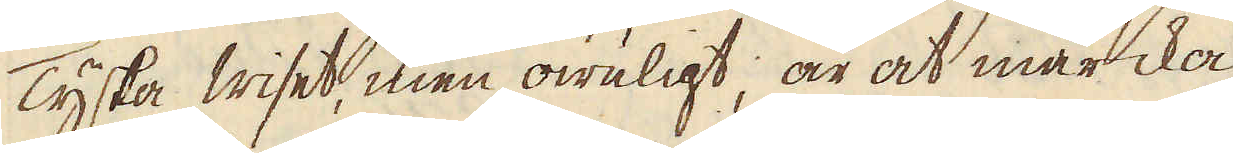Tyska wiset, men owuligt, är at märcka
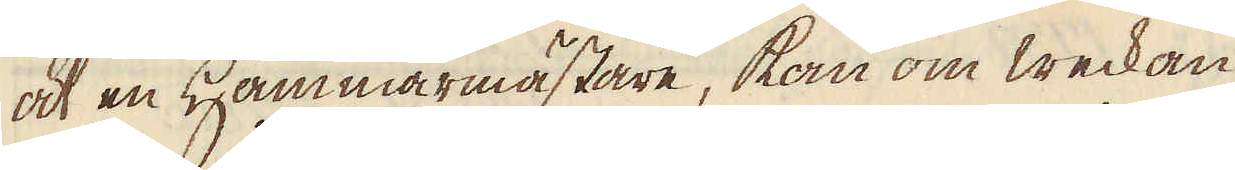at en Hammarmästare, kan om weckan
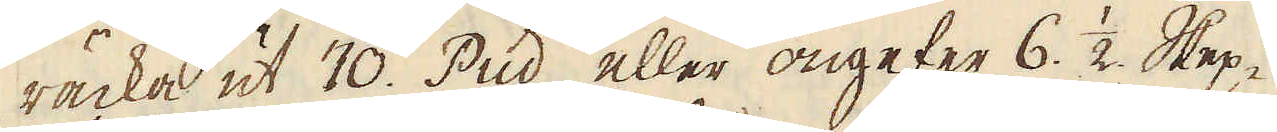räcka ut 70. Pud, eller ongefer 6. 1/2 Skep-
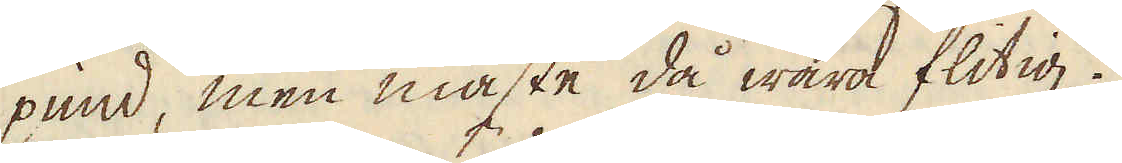pund, men måste då wara flitig.
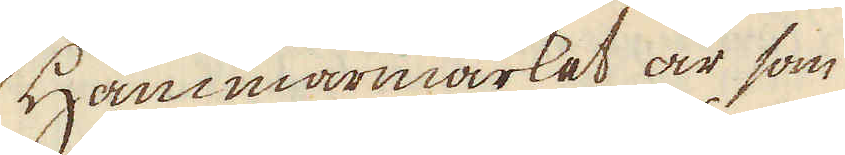Hammarmärket är som
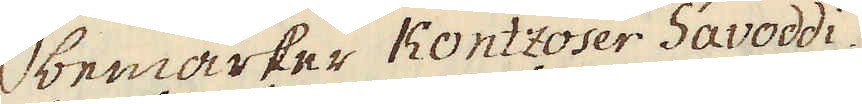bemärker Kontzoser Savoddi.
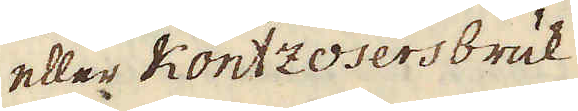eller Kontzosers bruk
